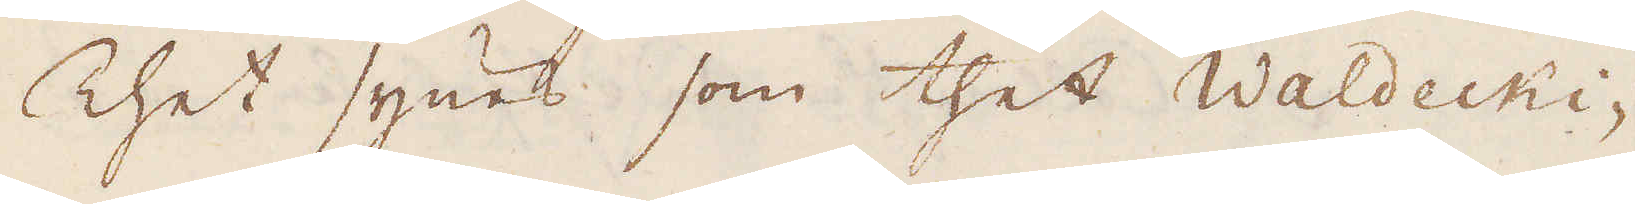Thet synes som thet Waldecki-
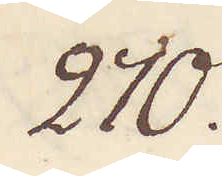270.
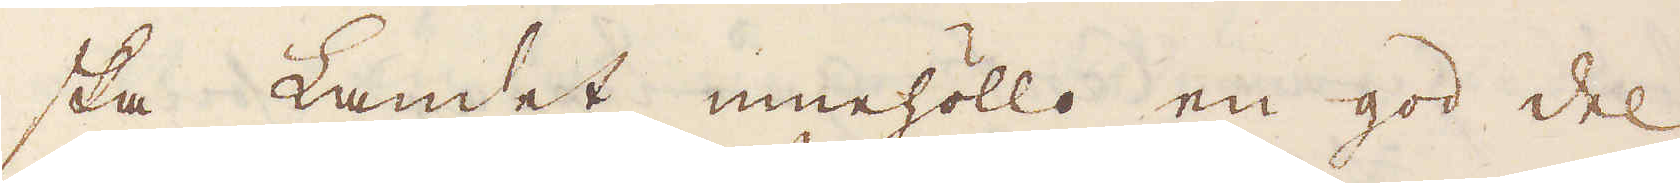ska Landet innehöllo en god del
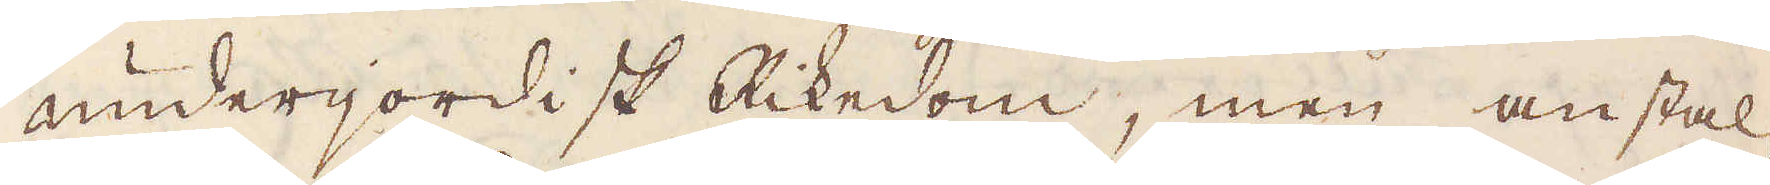underjordisk Rikedom, men anstal-
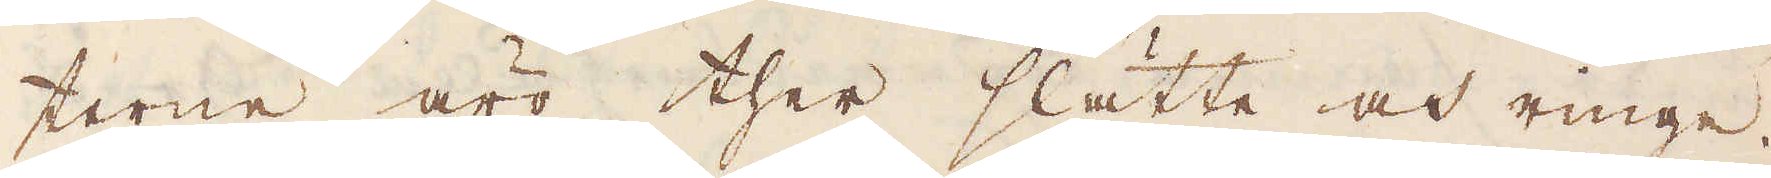terne äro ther slätte och ringe.
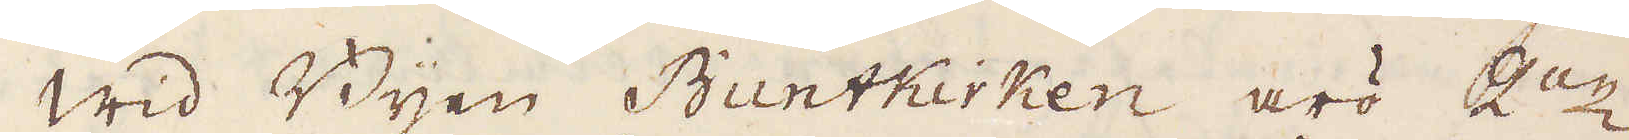Wid Byen Buntkirken äro 2:ne
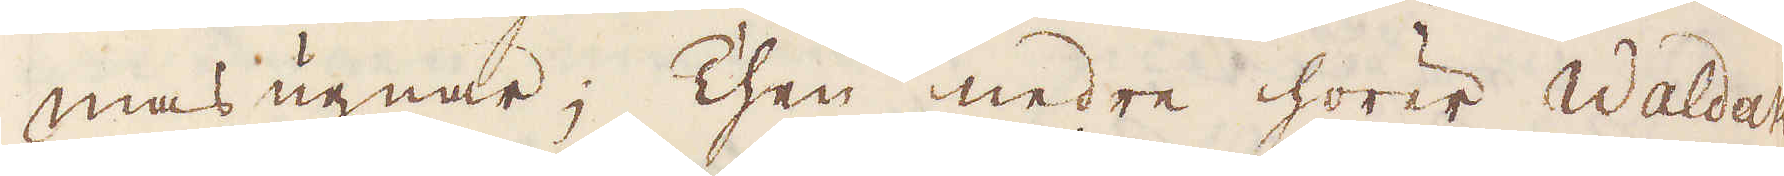masugnar; Then nedre hörer Waldak,
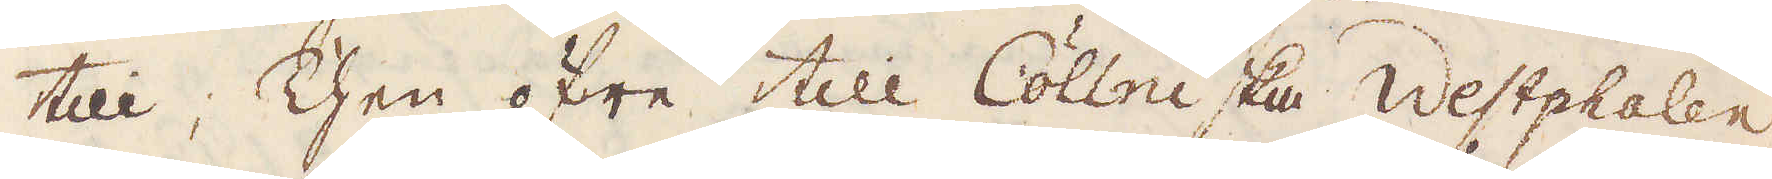till; Then öfre till Cöllniska Westphalen.
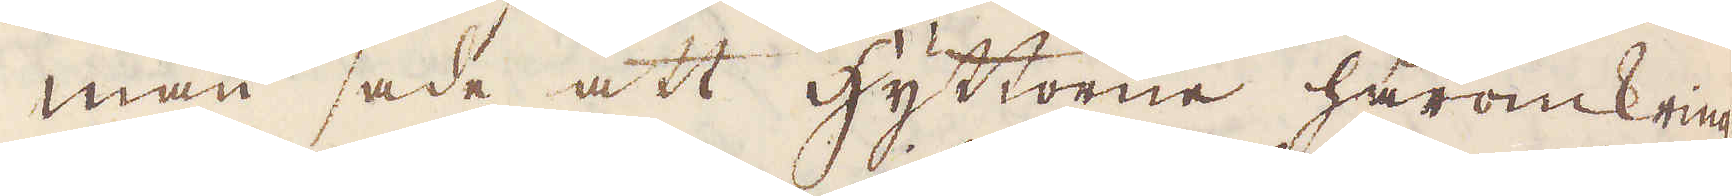Man sade att hyttorne häromkring
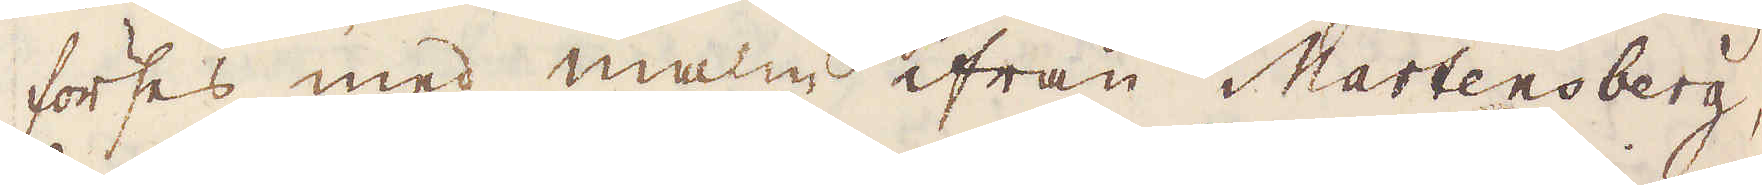förses med malm ifrån Martenberg,
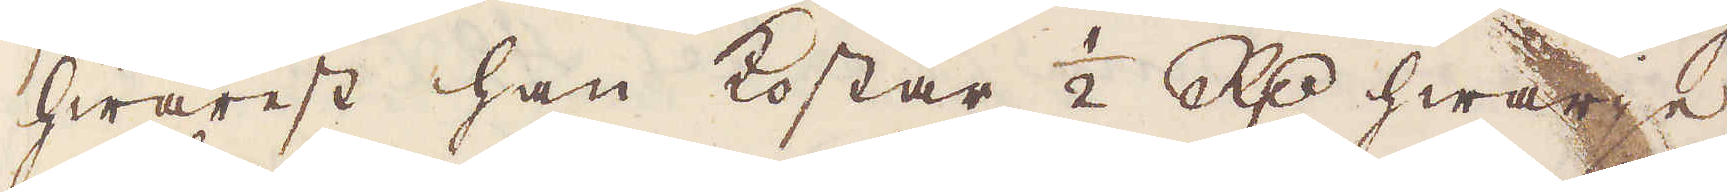hwarest han kostar 1/2 R:dr hwarje
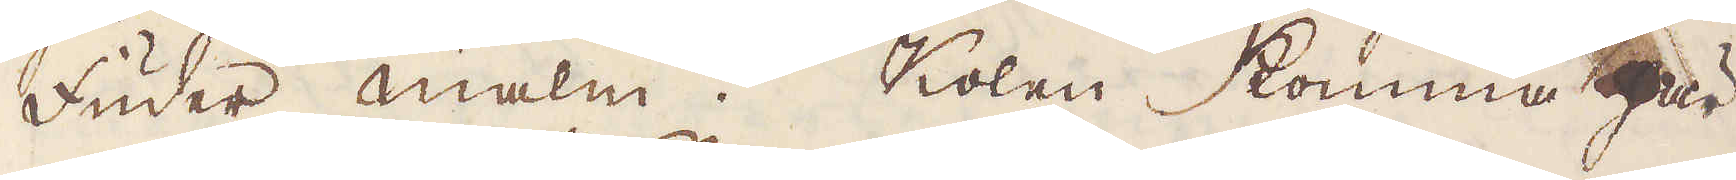fuder malm. Kolen komma här
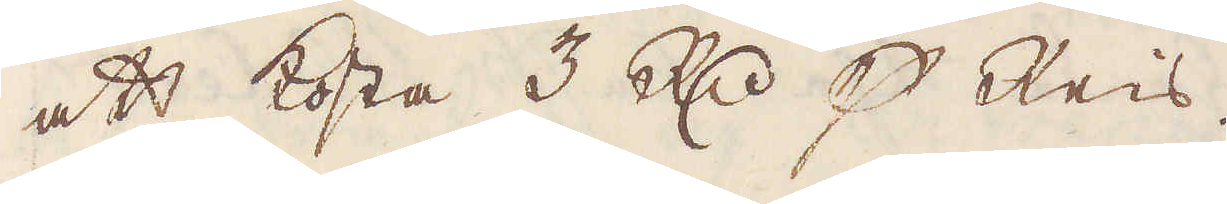att kosta 3 R:dr p Reis.
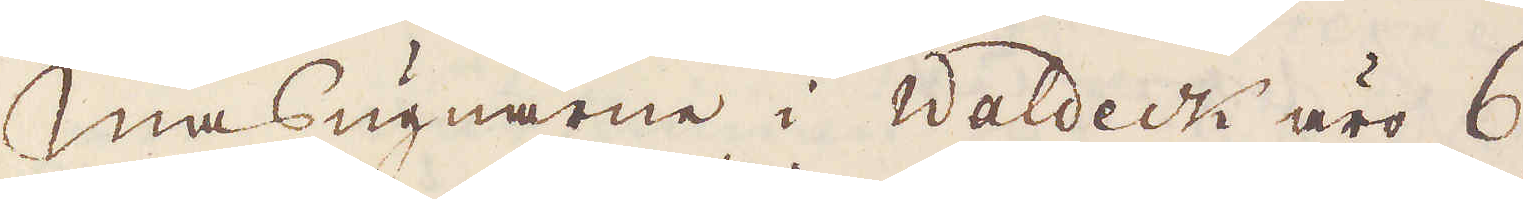Masugnarne i Waldeck äro 6
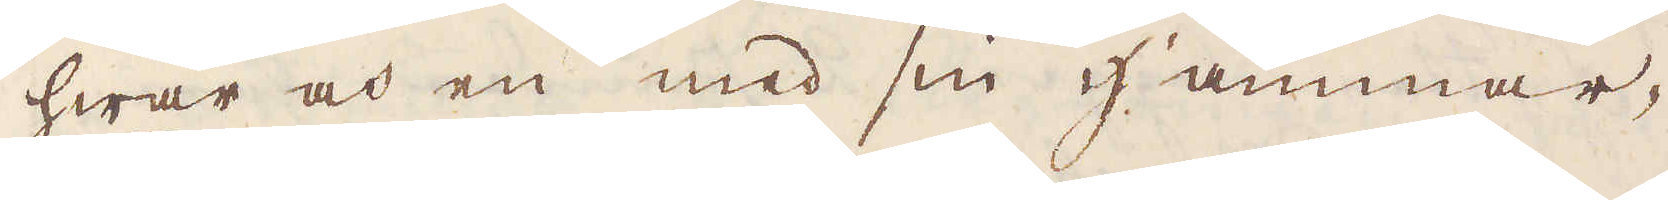hwar och en med sin hammar-
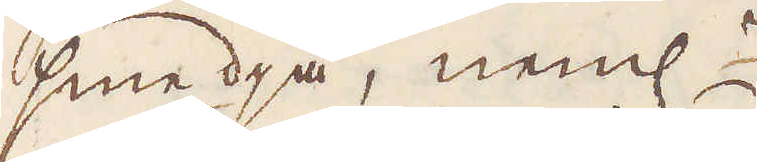smedja, neml:r
